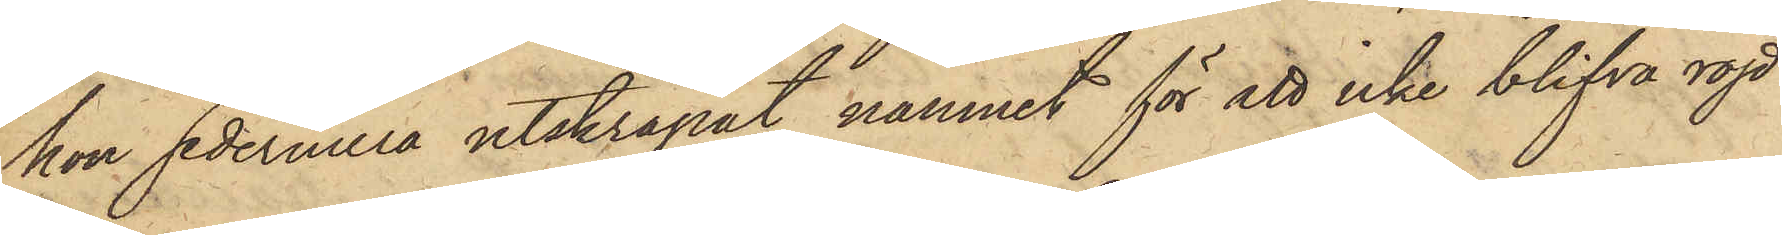hon sedermera utskrapat namnet för att icke blifva röjd
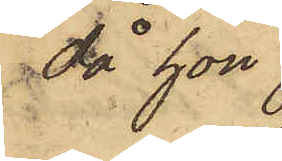då hon
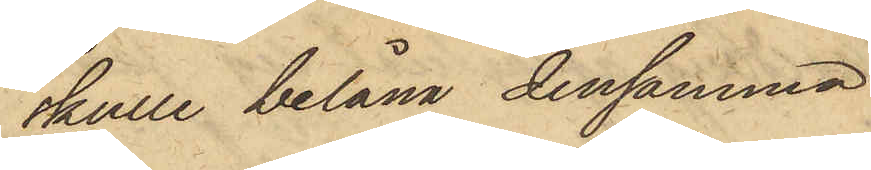skulle belåna densamma.
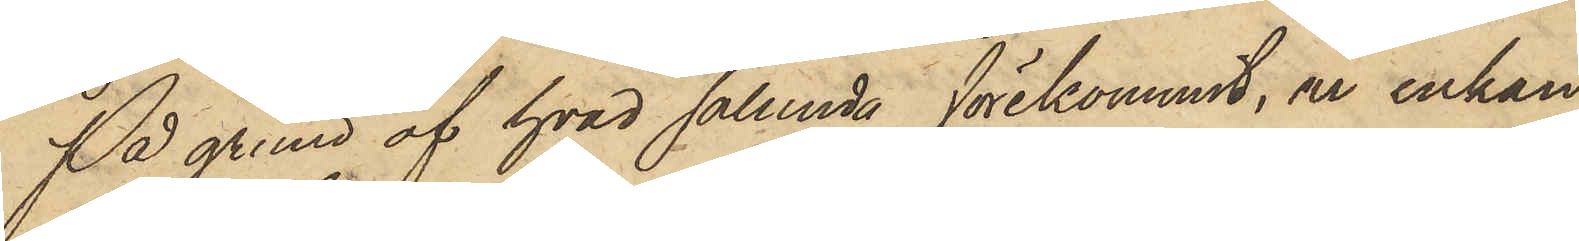På grund af hvad sålunda förekommit, är enkan
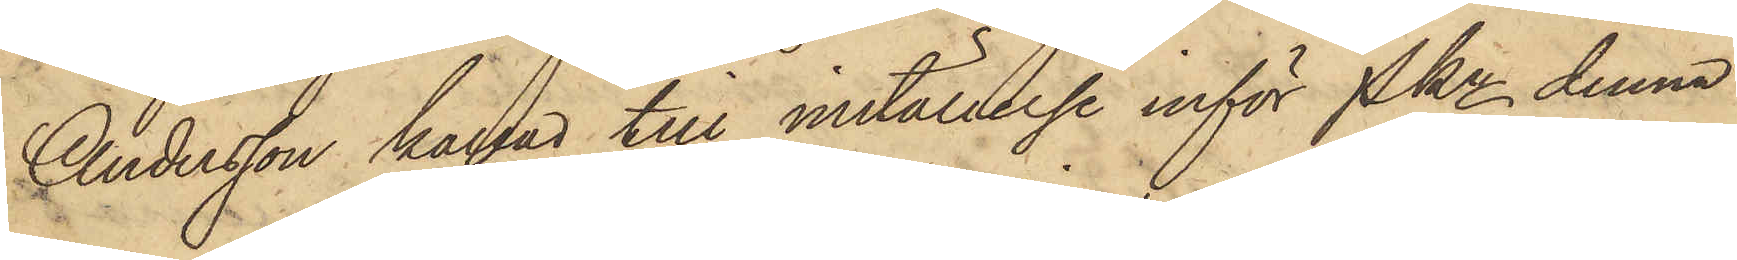Andersson kallad till inställelse inför Pkn denna
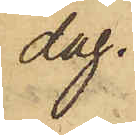dag.
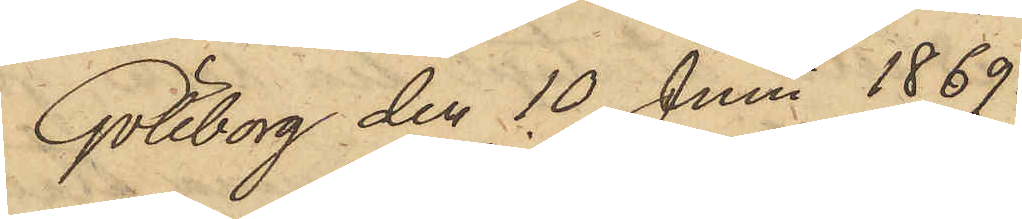Göteborg den 10 Juni 1869.
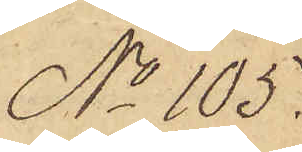No 105.
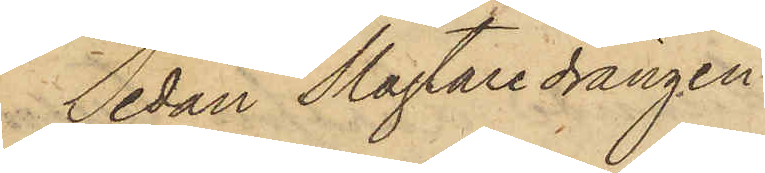Sedan Slagtaredrängen
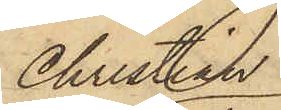Christian
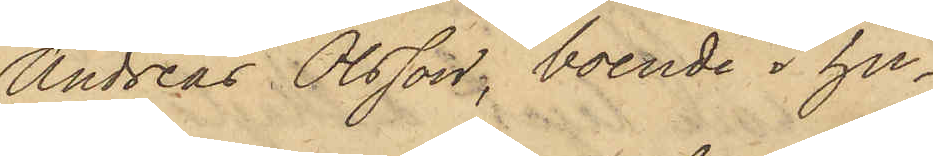Andreas Olsson, boende i hu¬
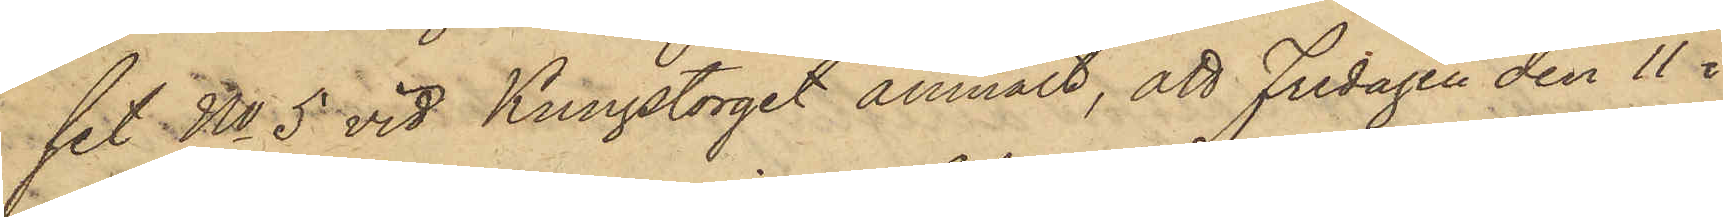set No 5 vid Kungstorget anmält, att Fredagen den 11 i
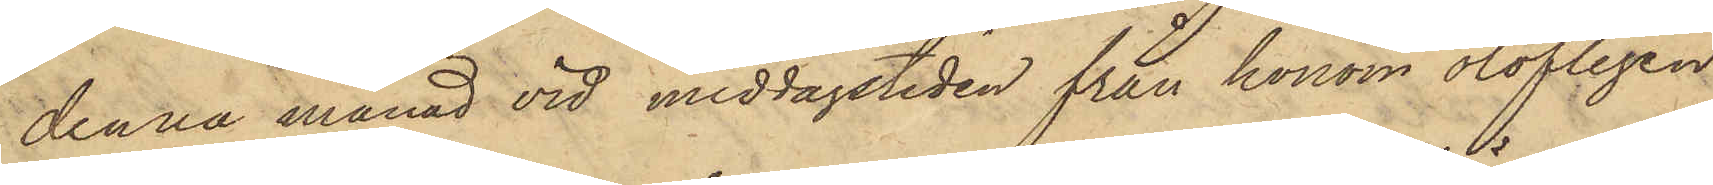denna månad vid middagstiden från honom olofligen
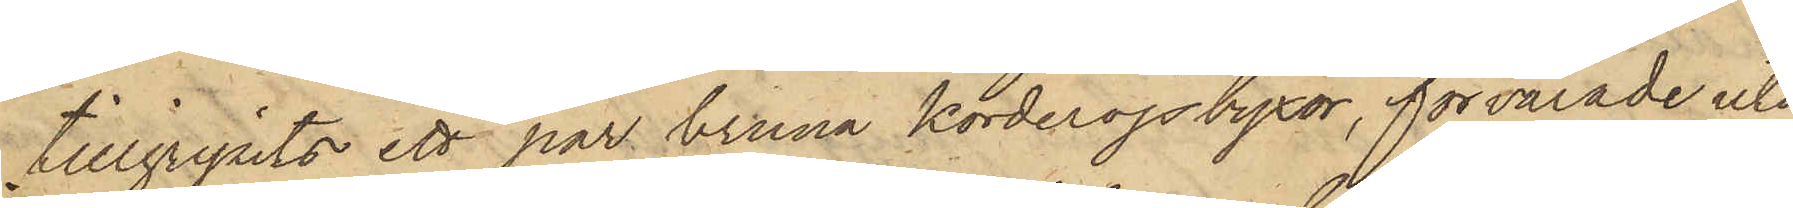tillgripits ett par bruna korderojsbyxor, förvarade uti
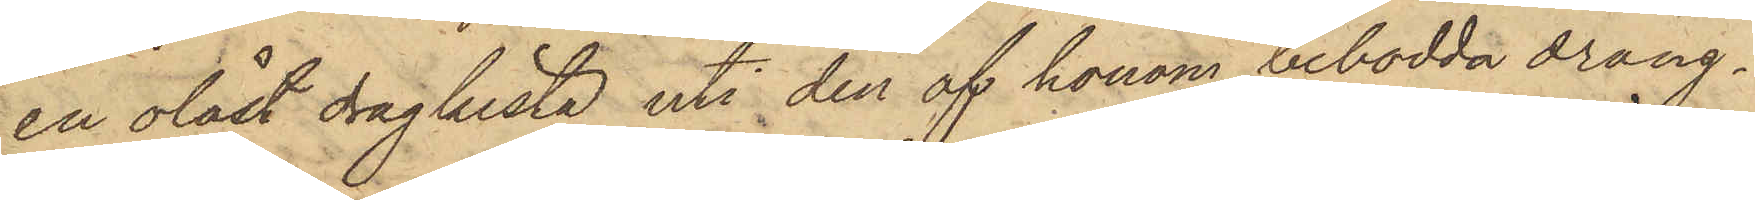en olåst dragkista uti den af honom bebodda dräng¬
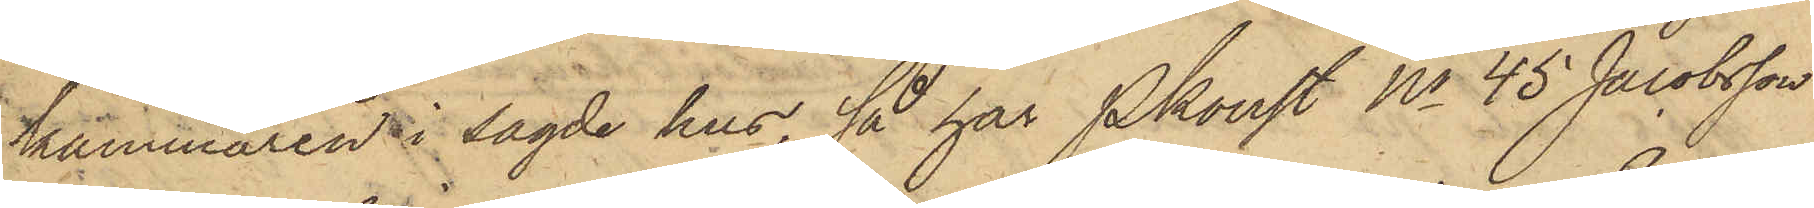kammaren i sagde hus, så har Pkonst No 45 Jacobsson
